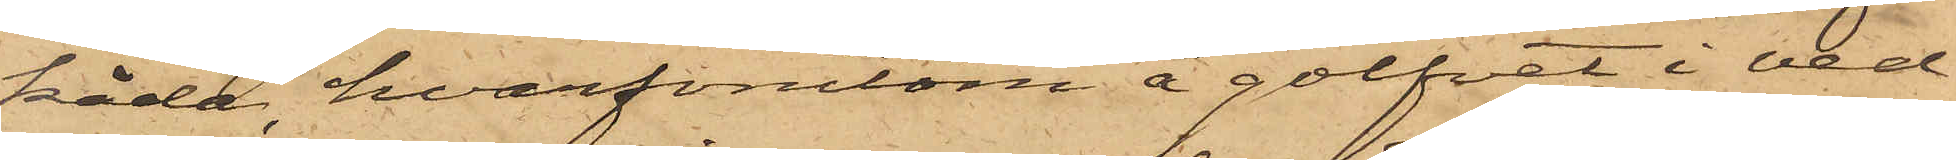kåda, hvarförutom å golfvet i ved¬
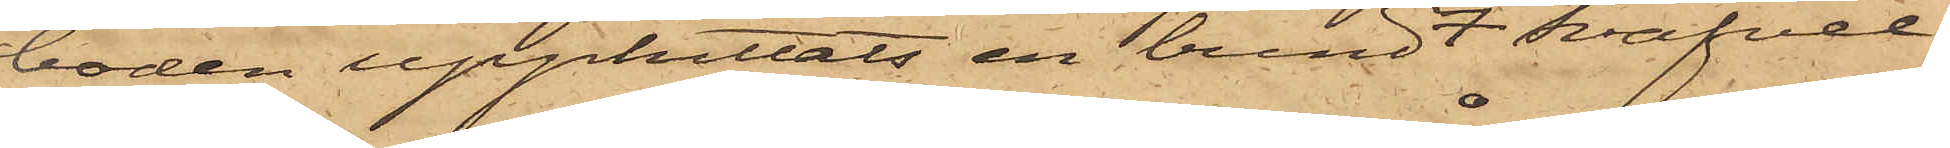boden upphittats en bundt Svafvel¬
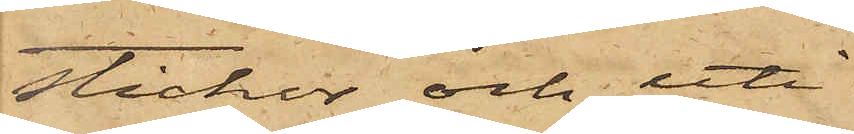stickor och uti
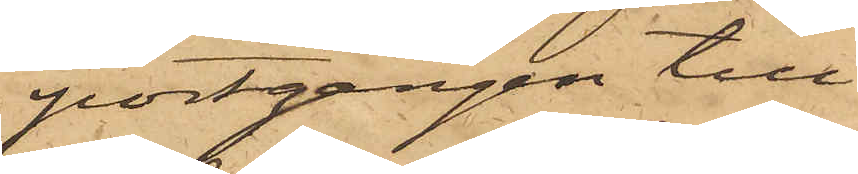portgången till
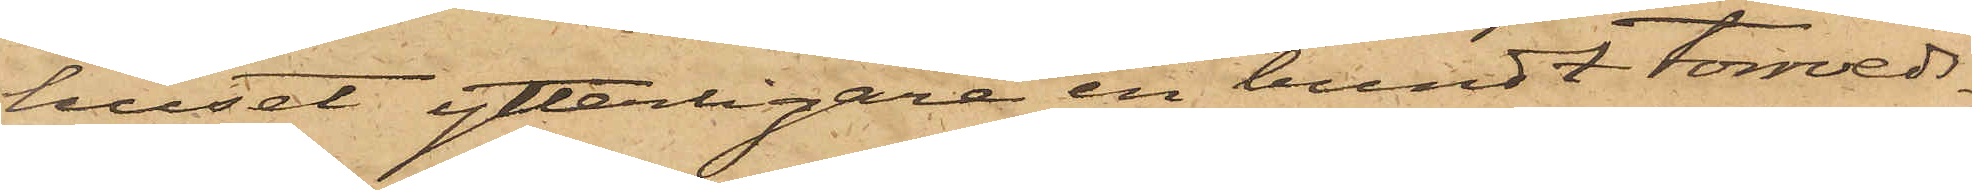huset ytterligare en bundt torrveds¬
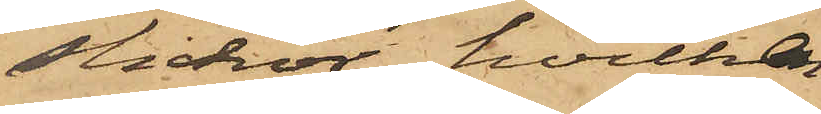stickor, hvilken
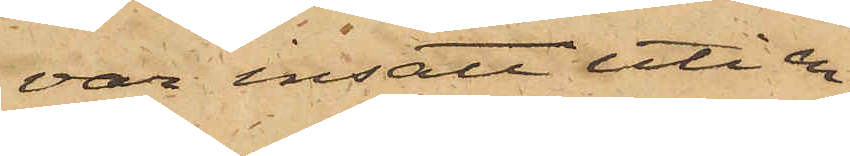var insatt uti en
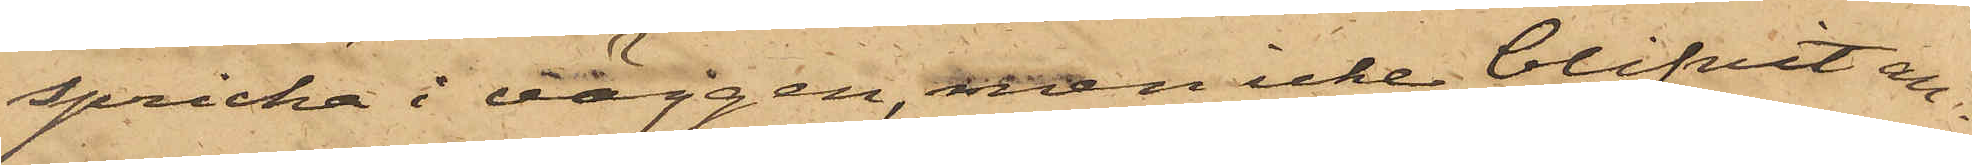spricka i väggen, men icke blifvit an¬
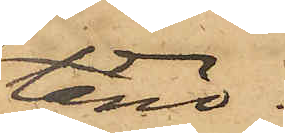tänd.
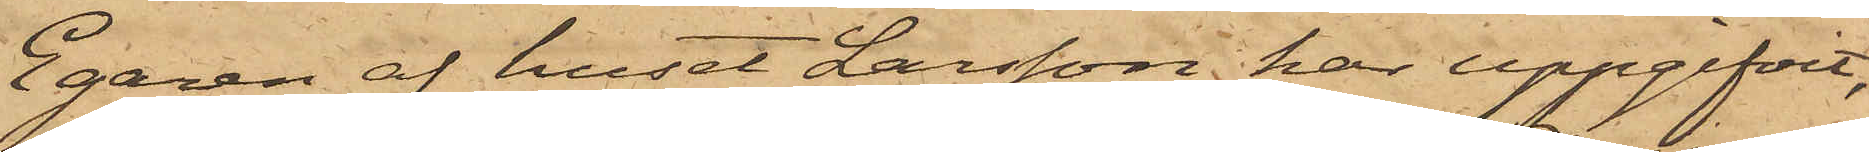Egaren af huset Larsson har uppgifvit,
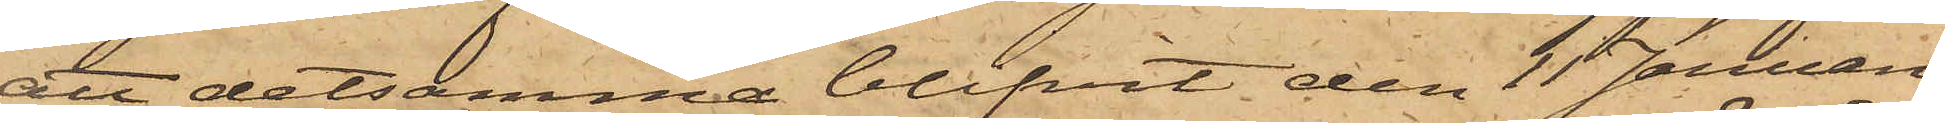att detsamma blifvit den 11 Januari
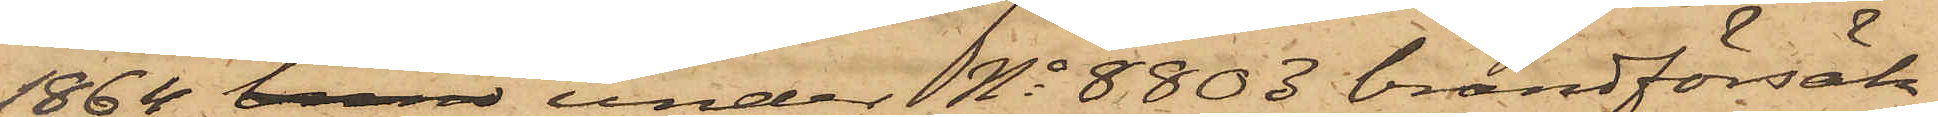1864 brand under No 8803 brandförsäk¬
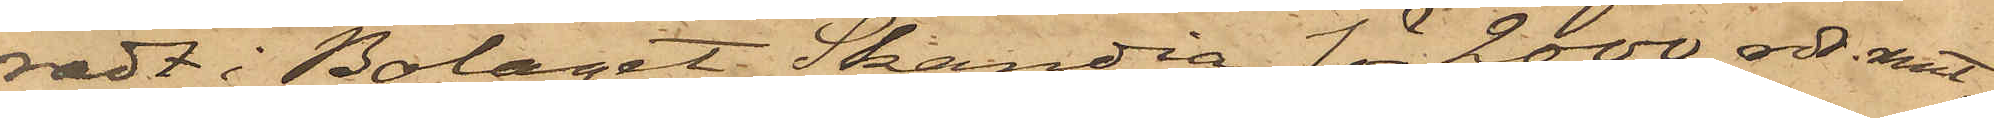radt i Bolaget Skandia för 2000 rdr. rmt,
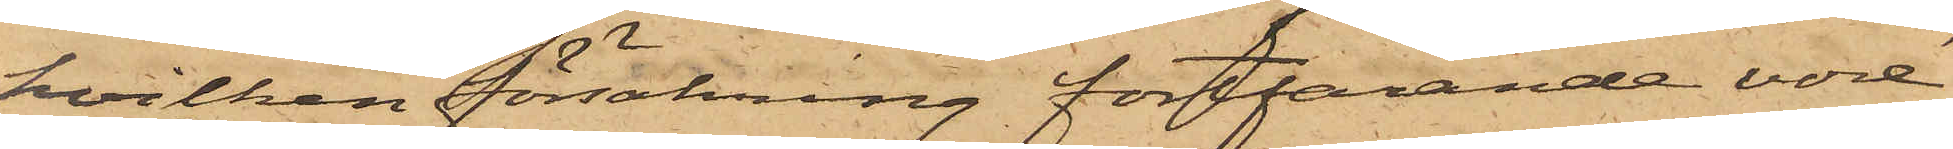hvilken försäkring fortfarande vore
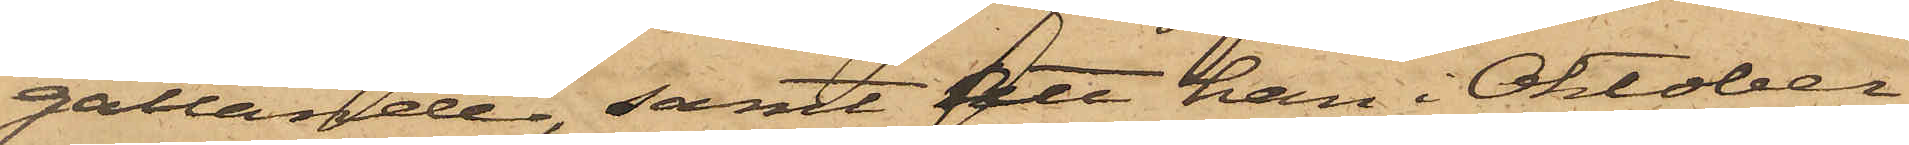gällande, samt att han i Oktober
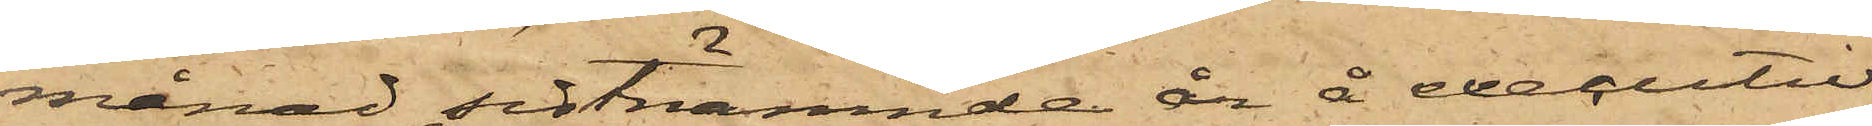månad sistnämnde år å executiv
